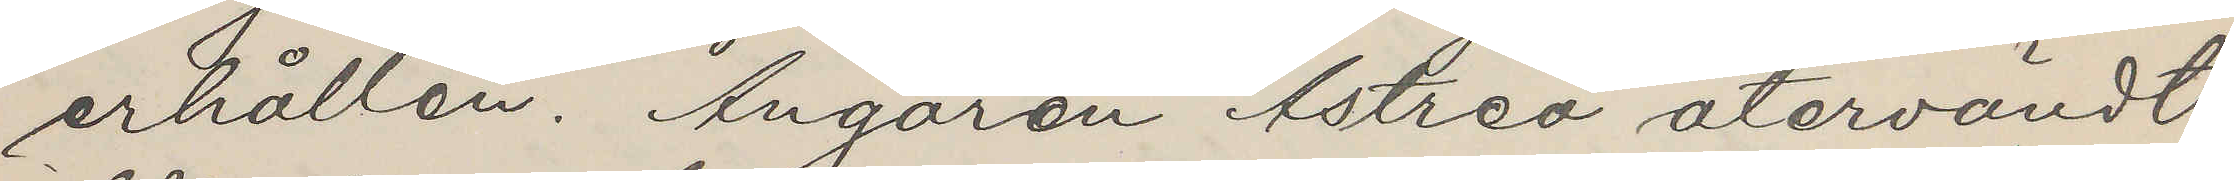erhållen. Ångaren Astrea återvändt
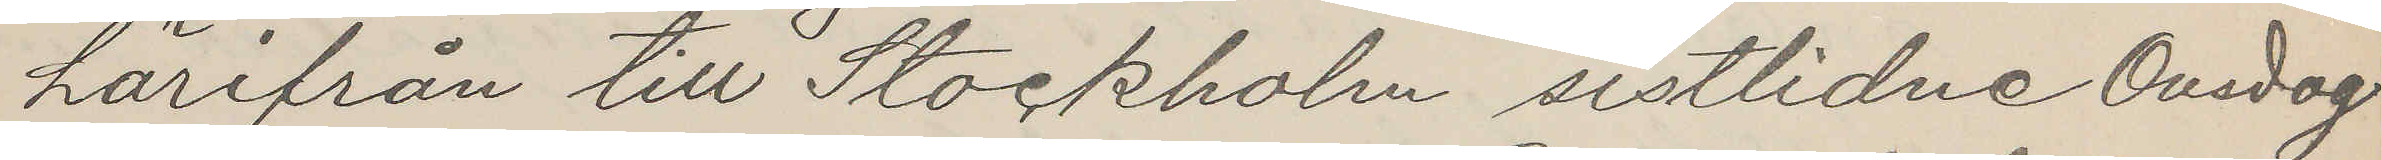härifrån till Stockholm sistlidne Onsdag
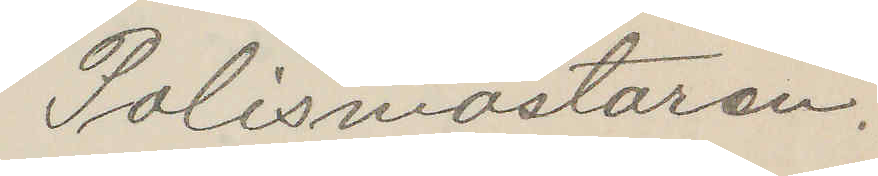Polismästaren.
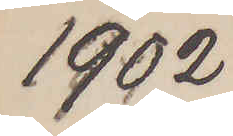1902
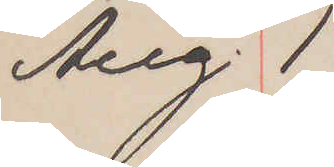Aug.1
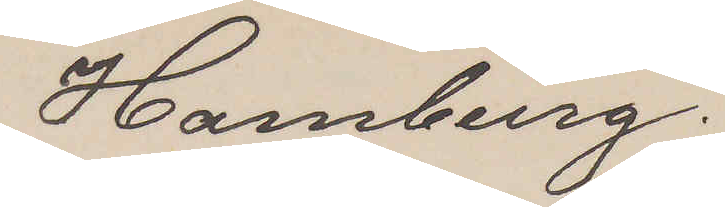Hamburg.
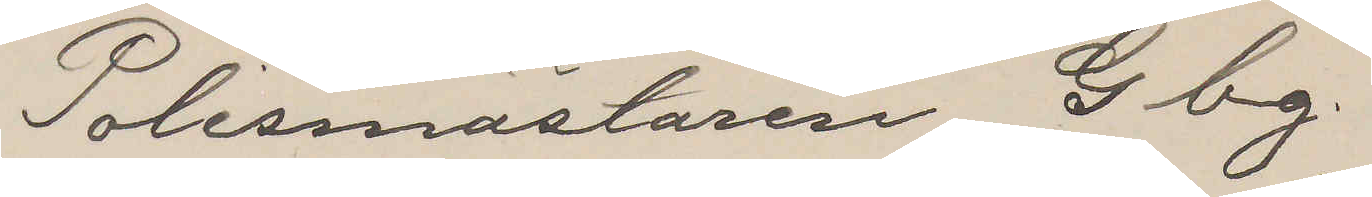Polismästaren Gbg.
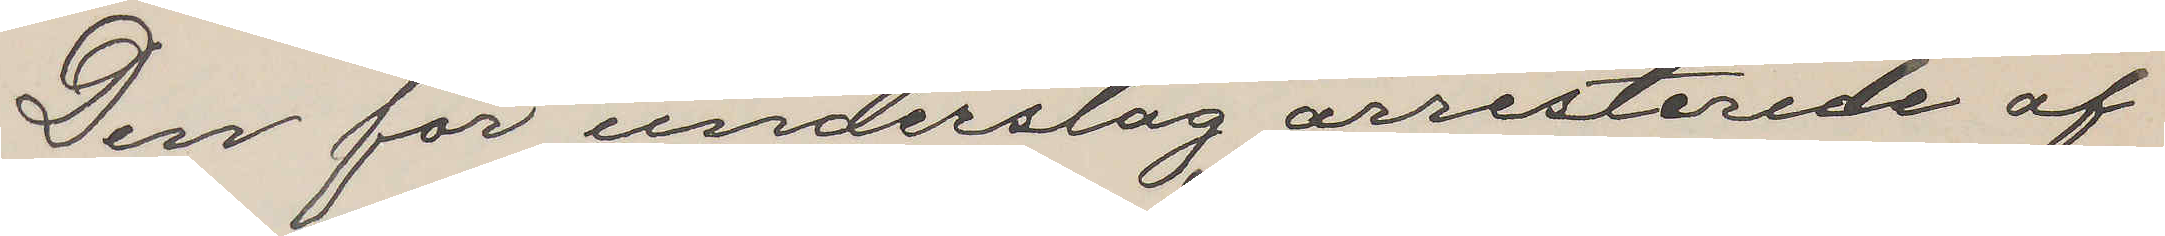Den för underslag arresterede af
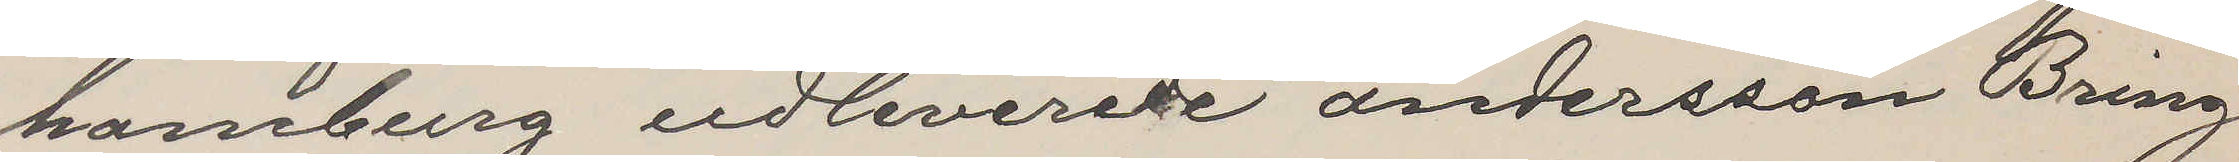hamburg udleverede andersson Bring
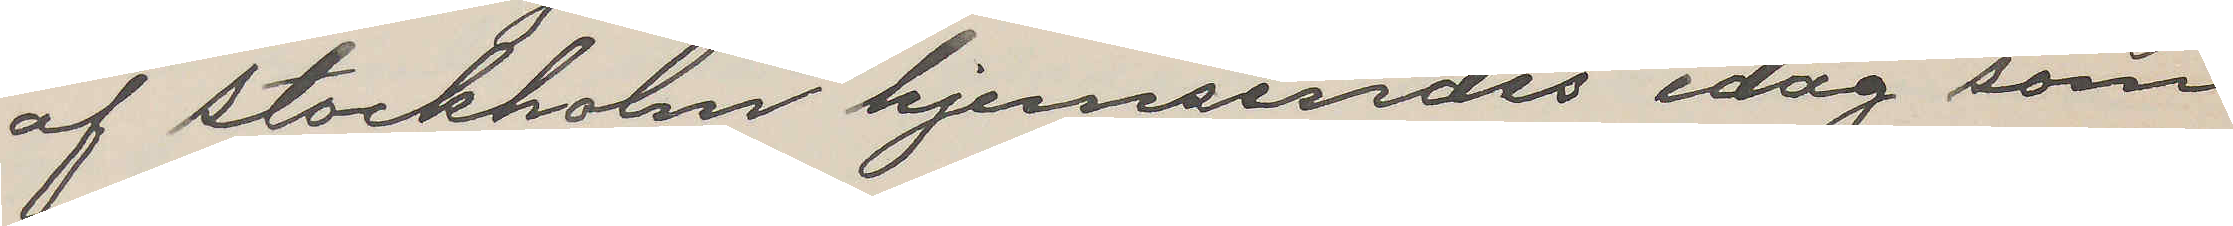af Stockholm hjemsendes idag som
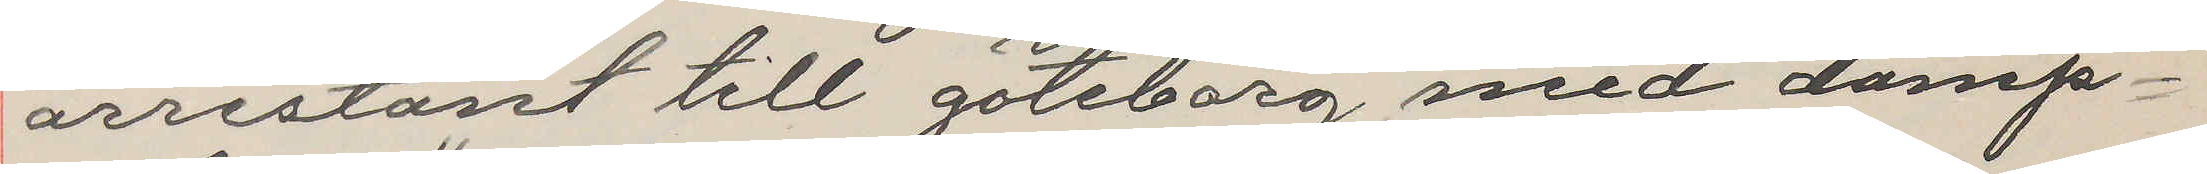arresteret till Göteborg med damp¬
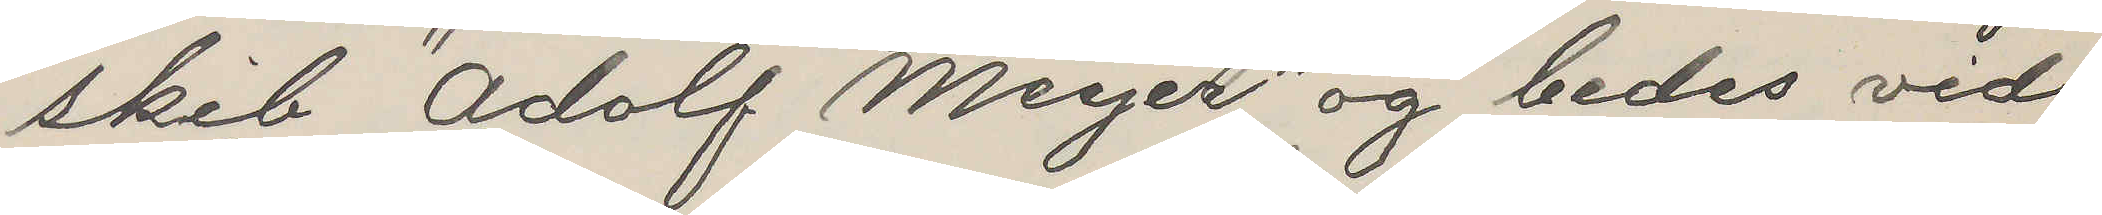skib "Adolf Meyer" og bedes vid
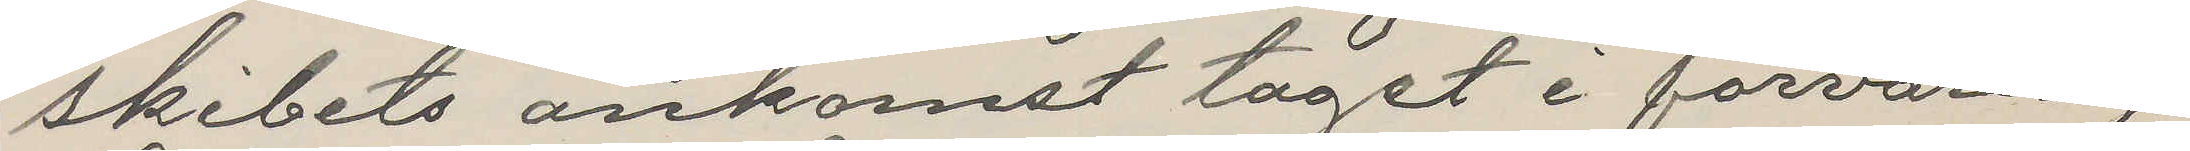skibets ankomst taget i förvaring.
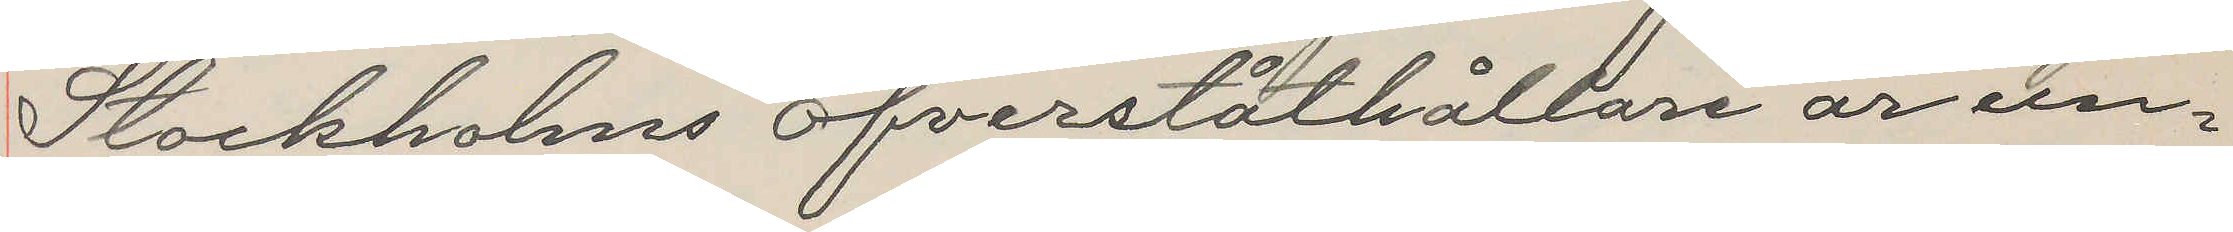Stockholms öfverståthållare är un¬
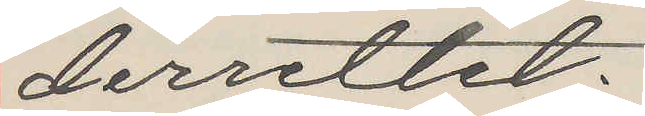derrettet.
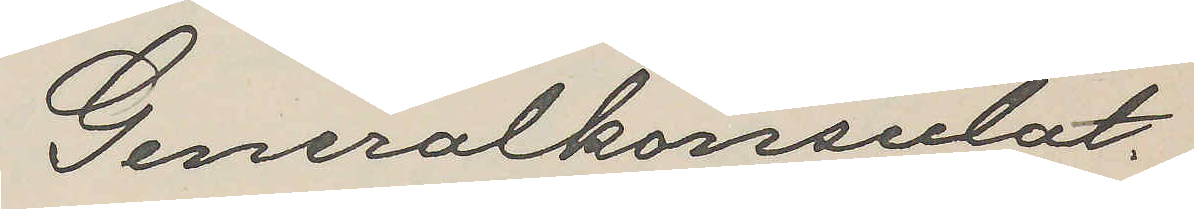Generalkonsulat.
